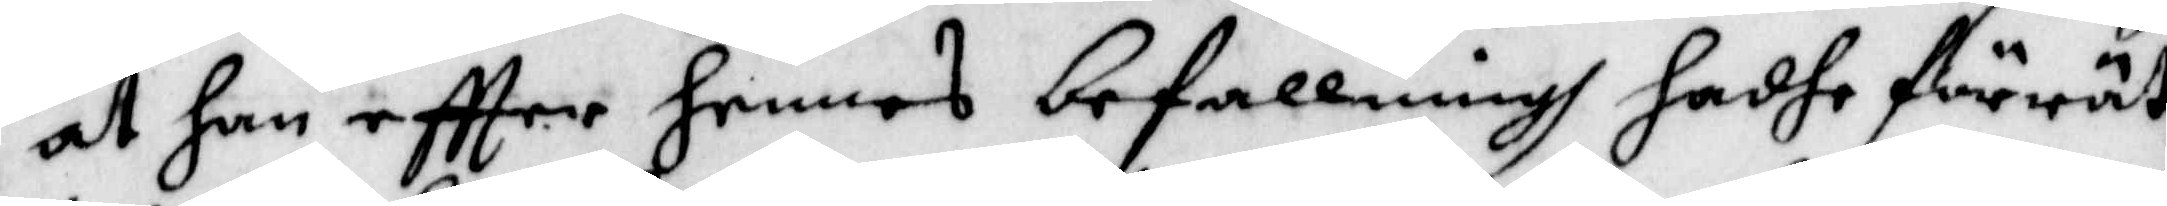at han effter hennes befallningh hadhe förrät¬
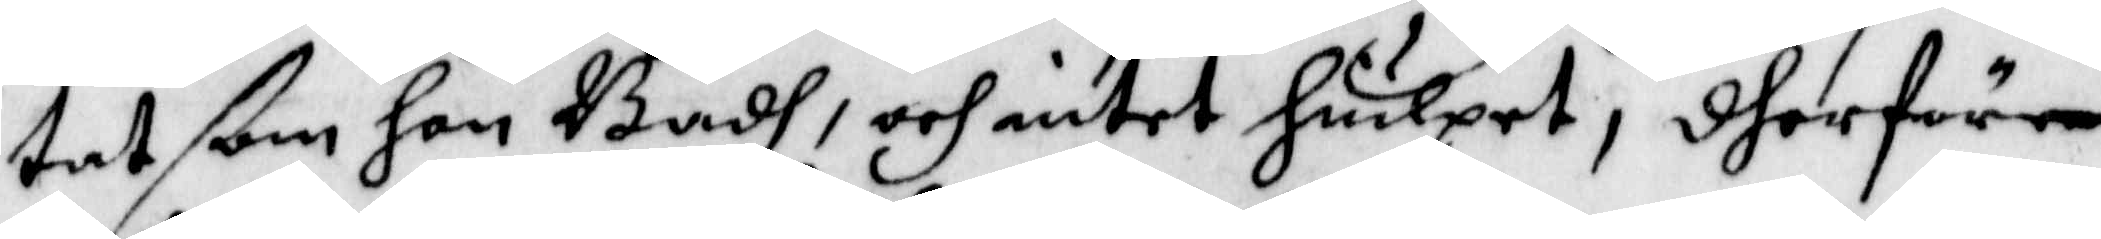tat ßom hon Badh, och intet hiulpet, dherföre
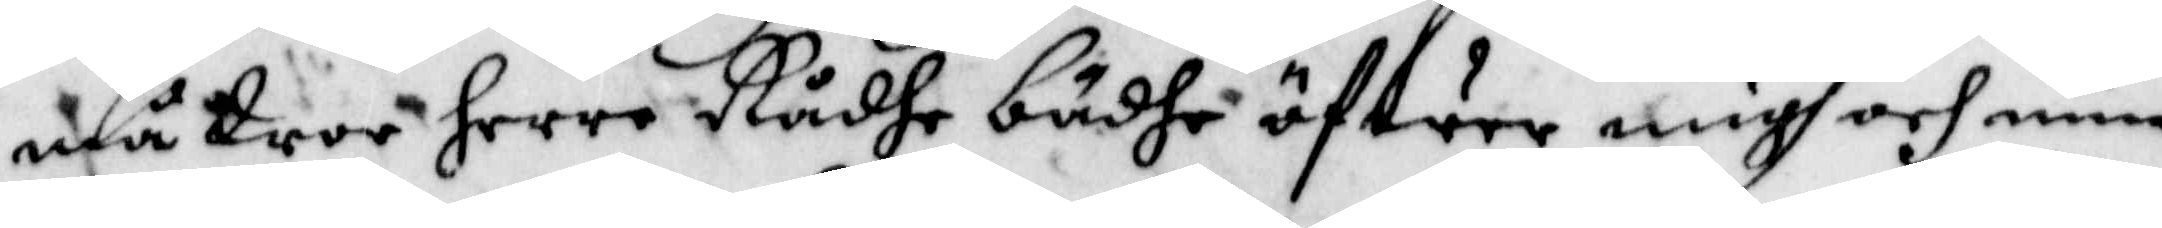må Wor Herre Rådhe bådhe öfwer migh och min
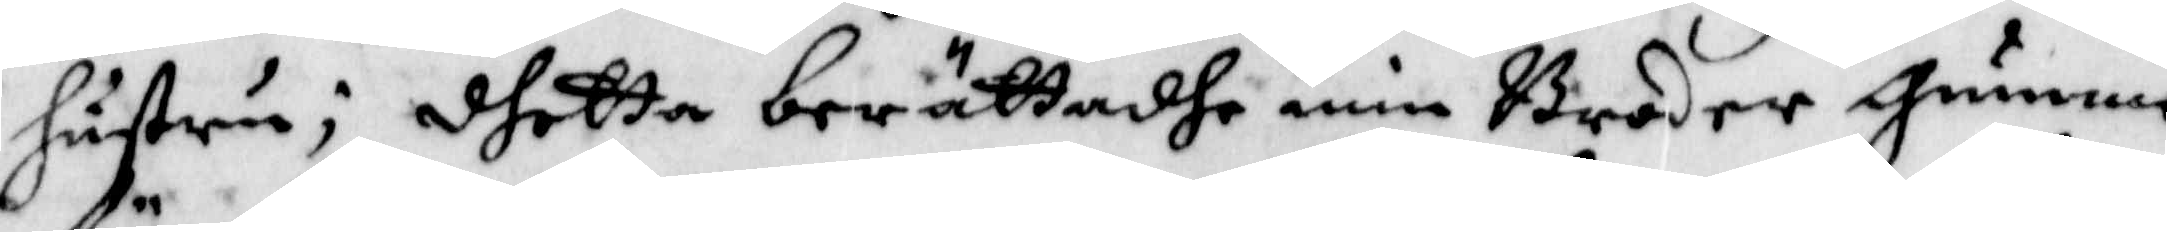hustru; dhetta berättadhe min Broder gumme
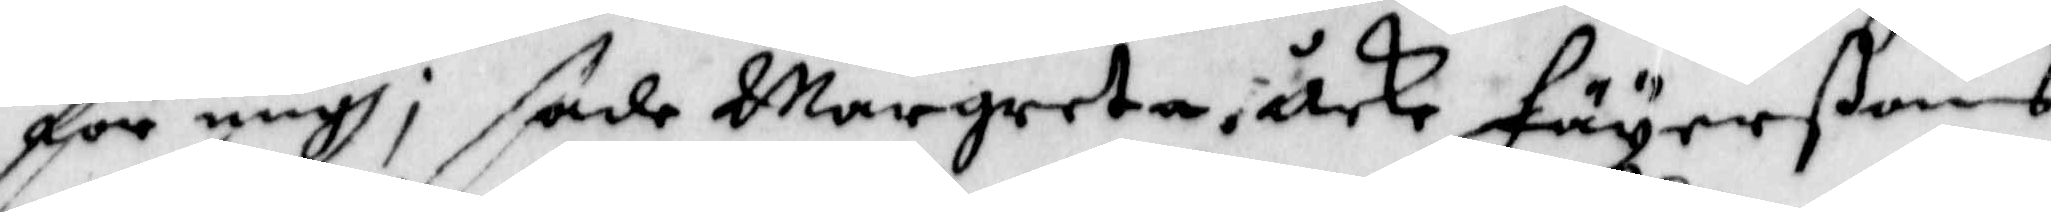för migh, sade Margreta åcke Fäyerßons
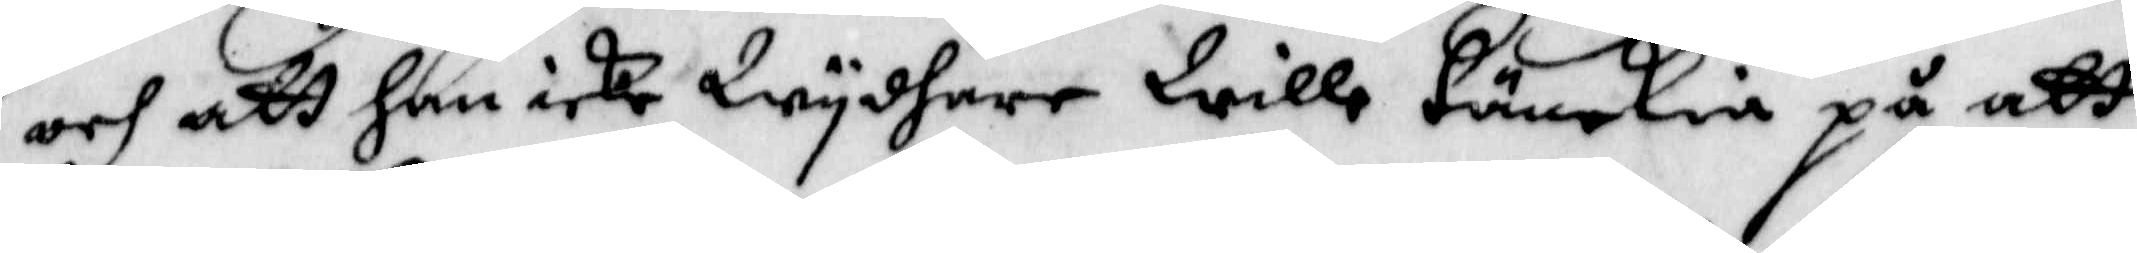och att han icke Wydare Wille tänkia på att
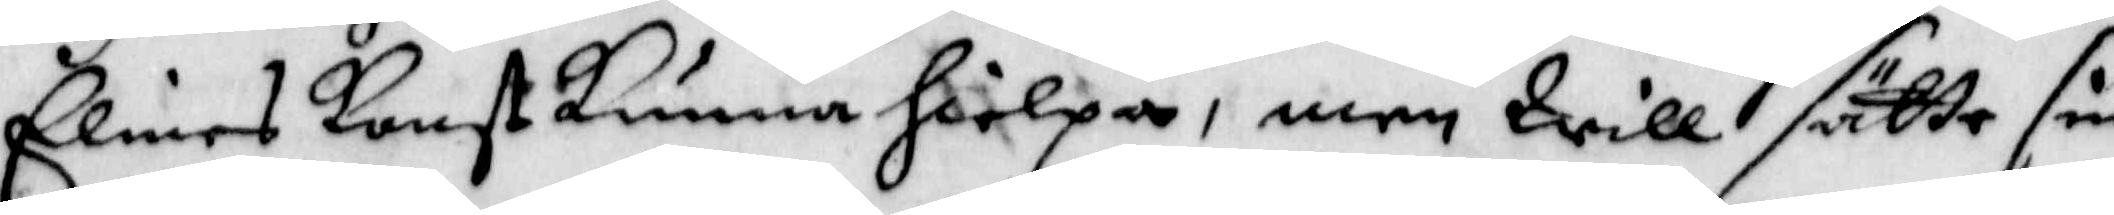Elines konst kunna hielpa, men Will sätte sin
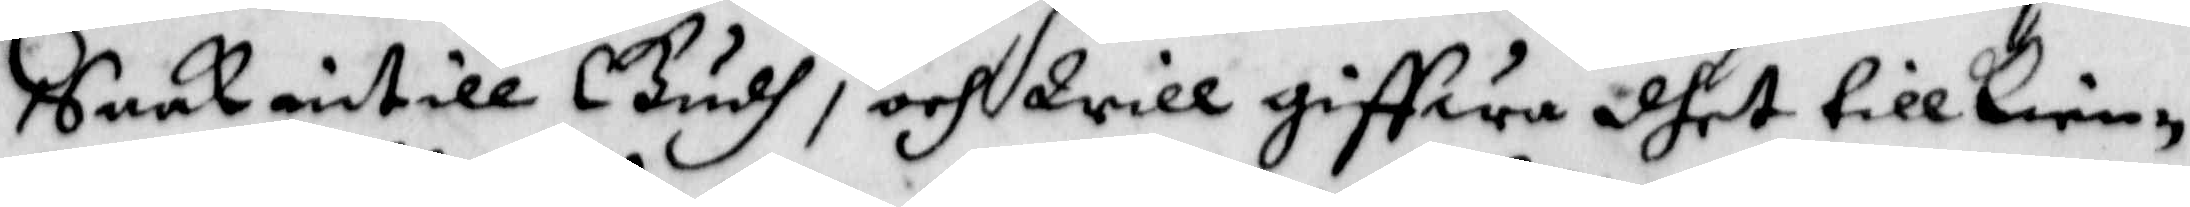Saak intill Gudh, och Will giffwa dhet tillkien¬
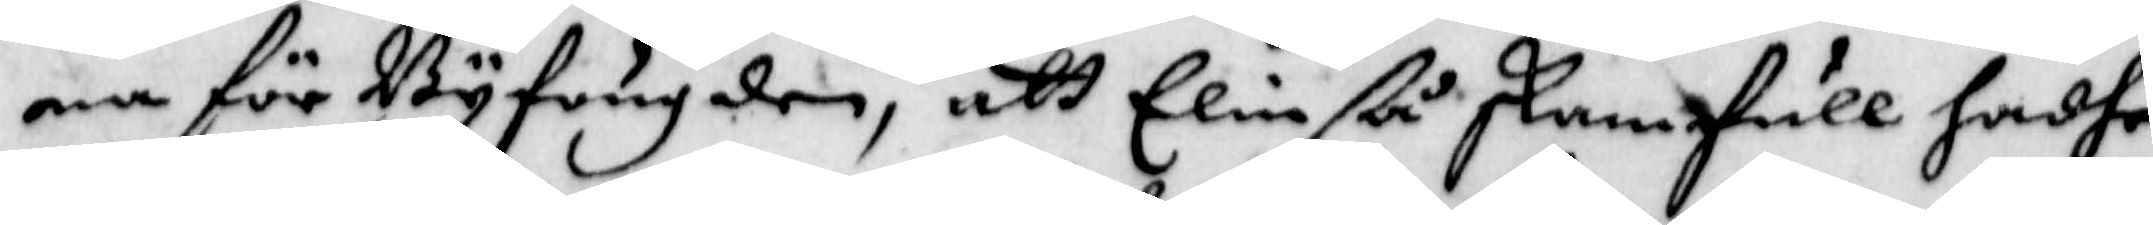na för Byfougden, att Elin ßå skam full hadhe
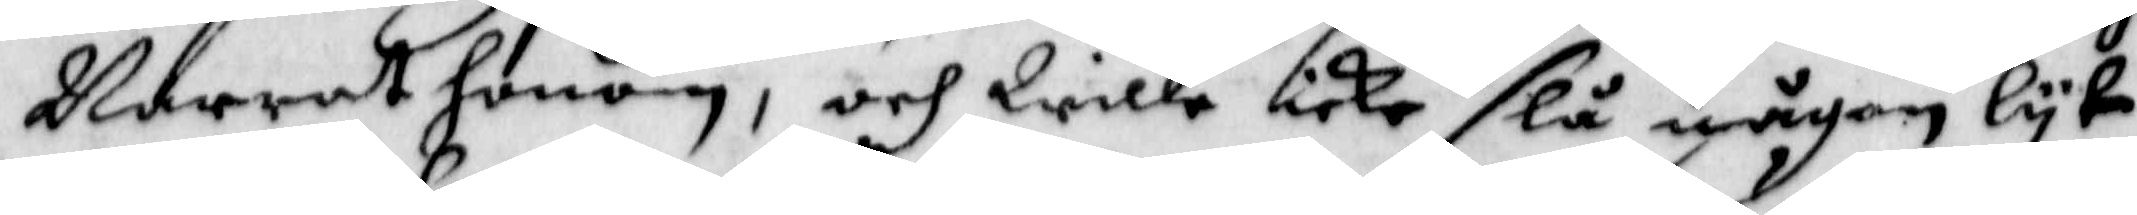Narrat honom, och Wille icke slå någon lyt
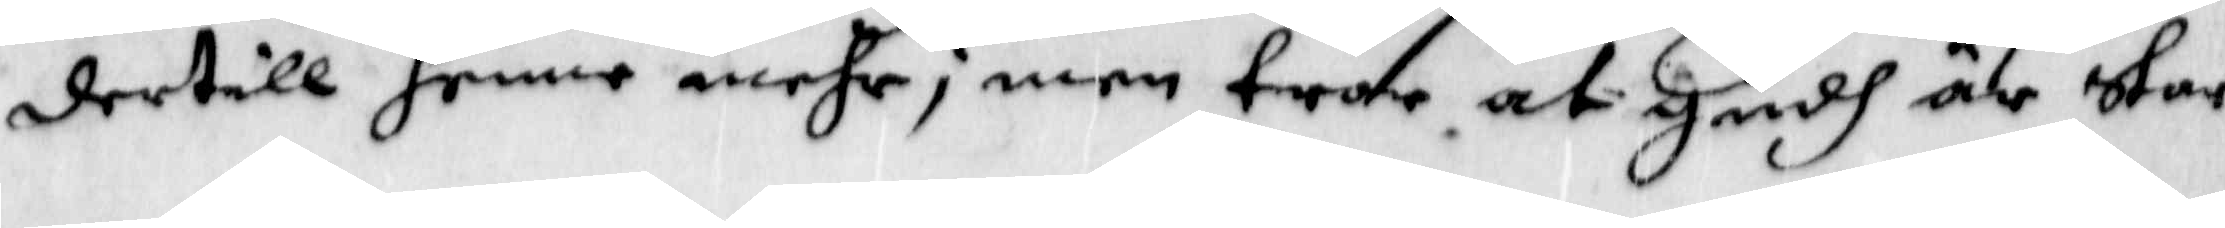dertill henne mehr; men tro at Gudh är star¬
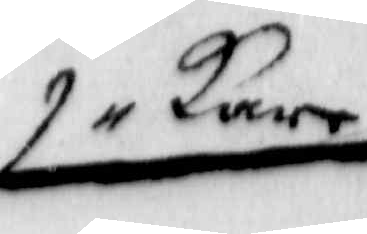kare
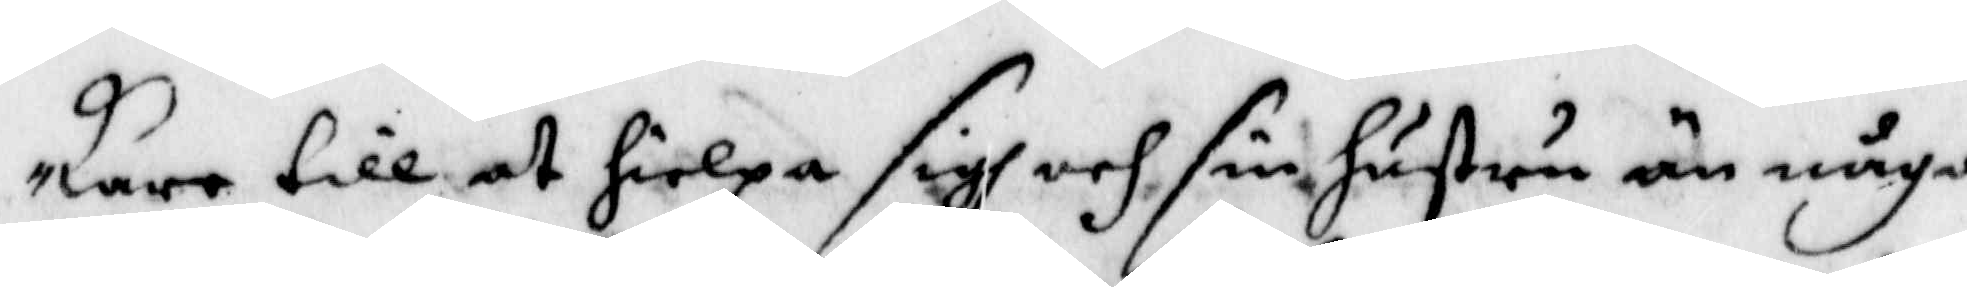kare till at hielpa sigh och sin hustru än någon
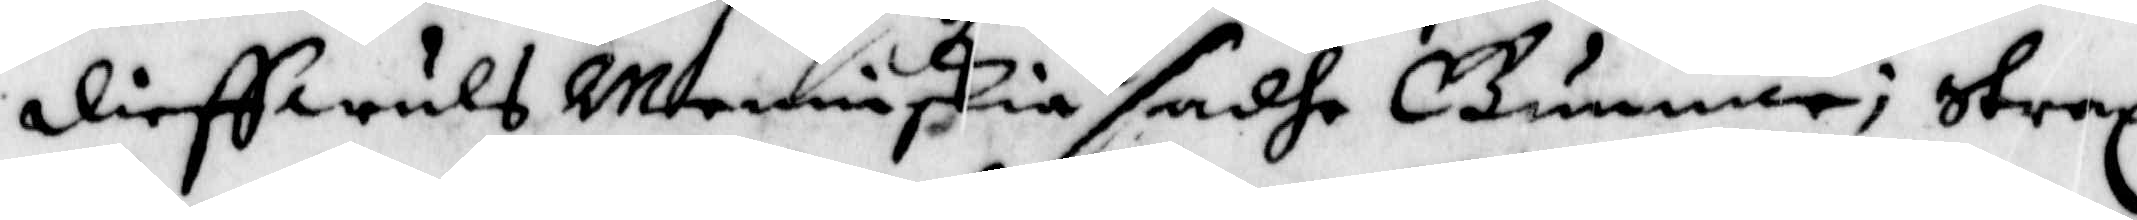dieffwuls Menniskia sadhe Gummar; strax
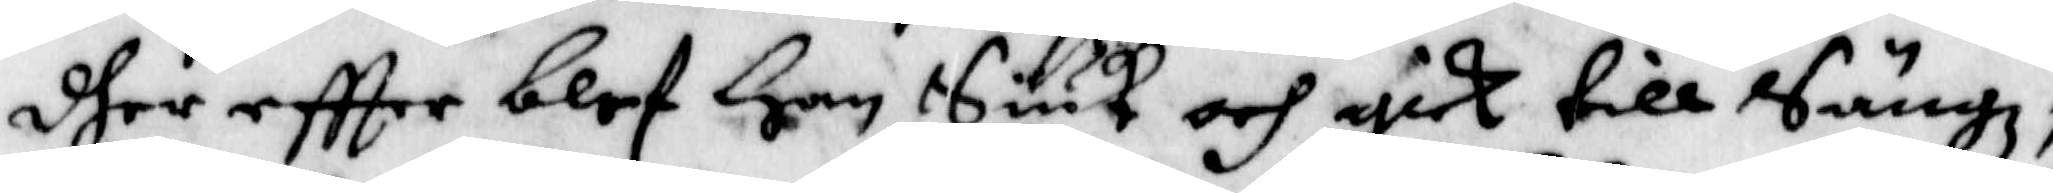dher effter blef Han Siuk och gick till Sängz,
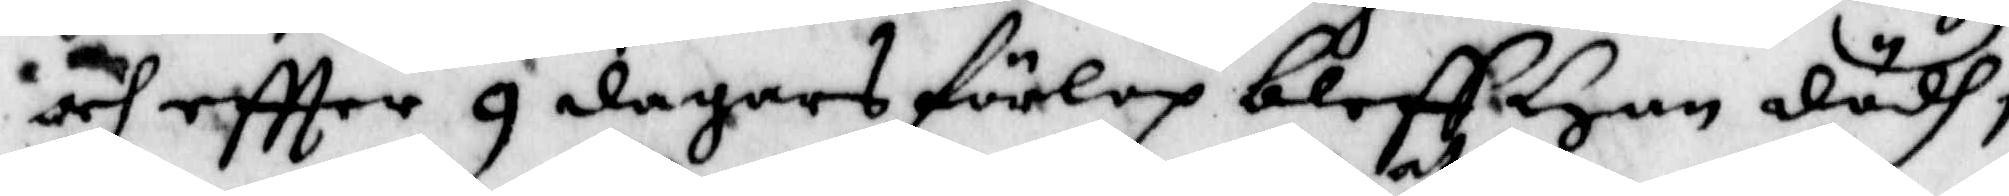och eftter 9 dagars förlop bleff Han dödh;
